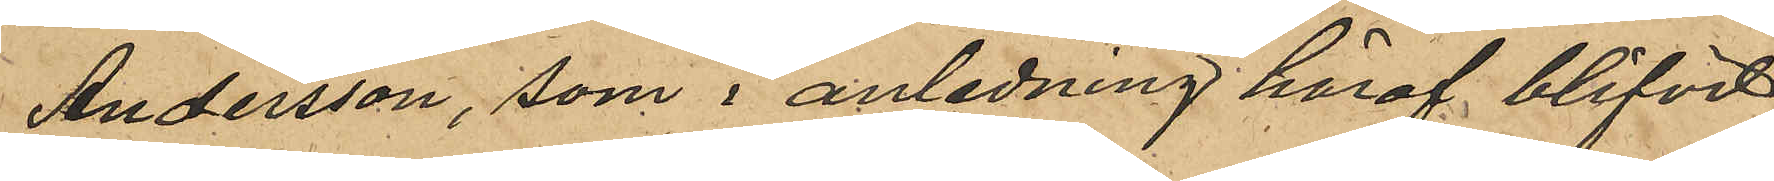Andersson, som i anledning häraf blifvit
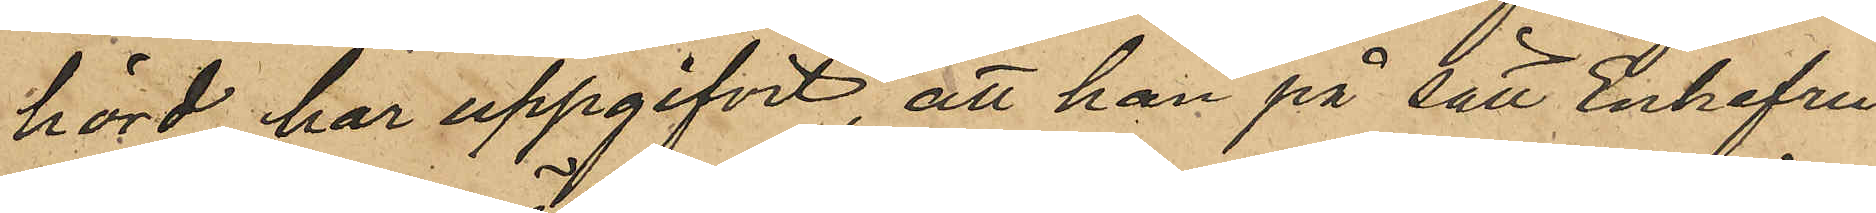hörd, har uppgifvit, att han på sätt Enkefru
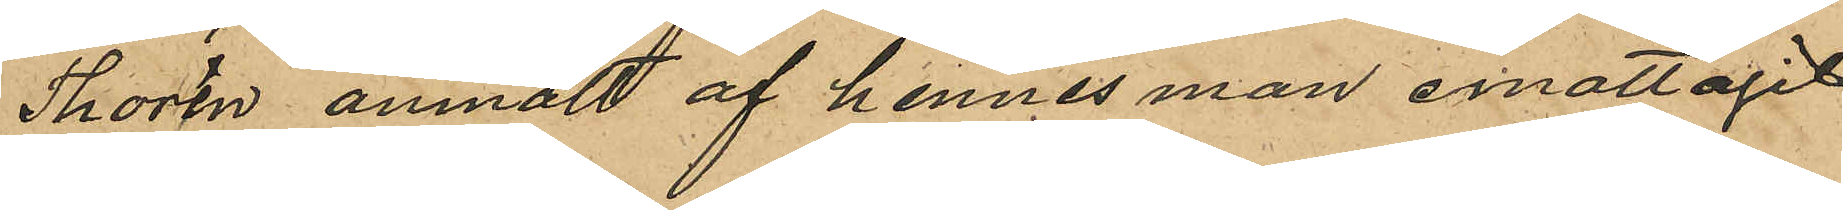Thorén anmält af hennes man emottagit
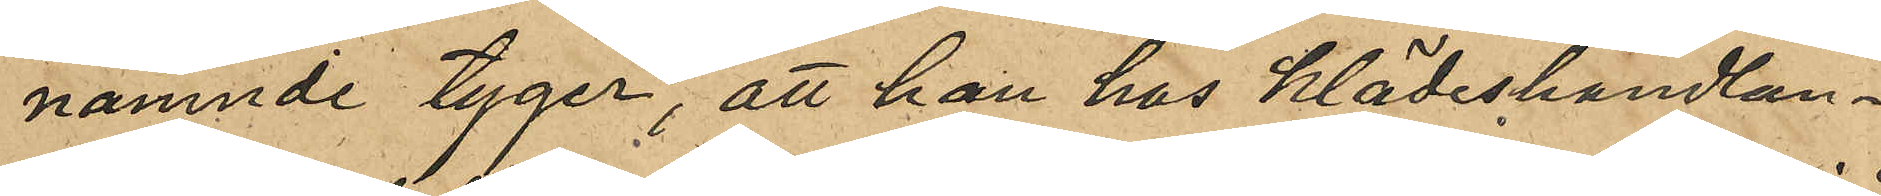namnde tyger, att han hos klädeshandlan¬
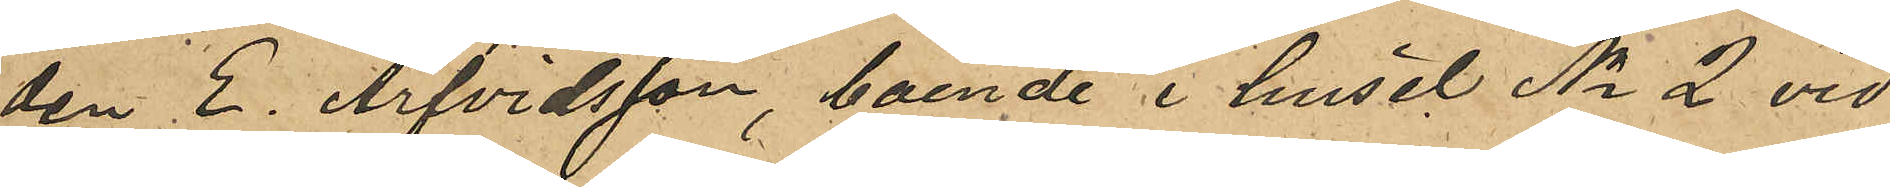den E. Arfvidsson, boende i huset No 2 vid
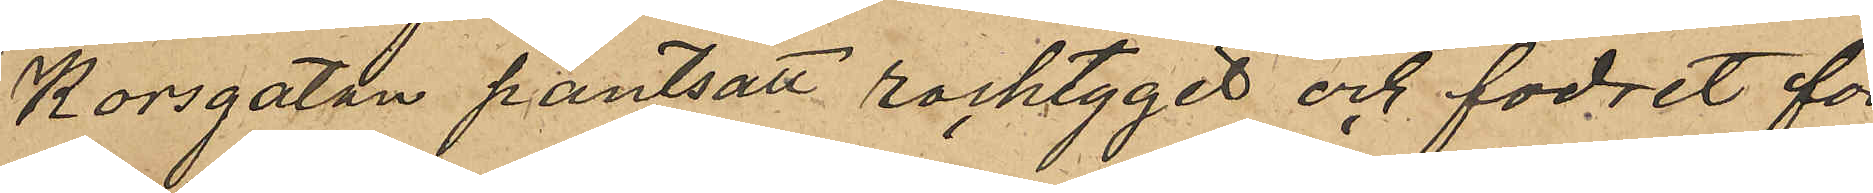Korsgatan pantsatt rocktyget och fodret för
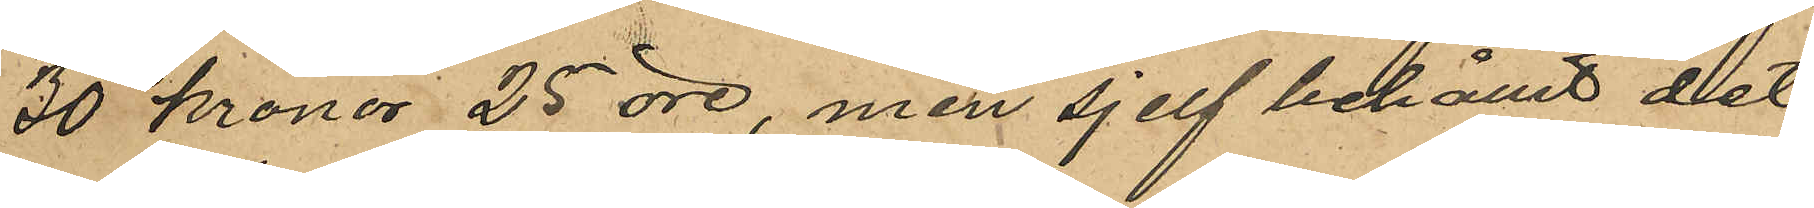30 kronor 25 öre, men sjelf behållit det
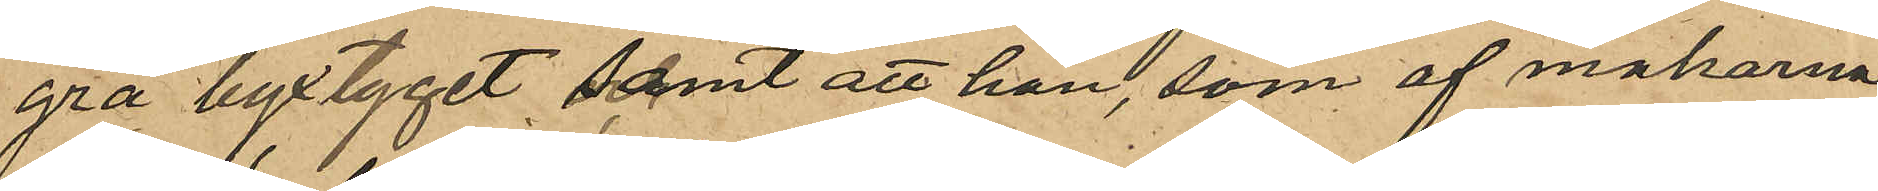grå byxtyget samt att han, som af makarna
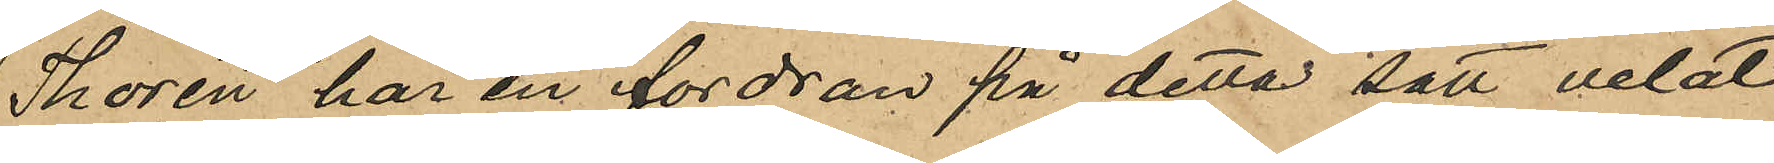Thorén har en fordran på detta sätt velat
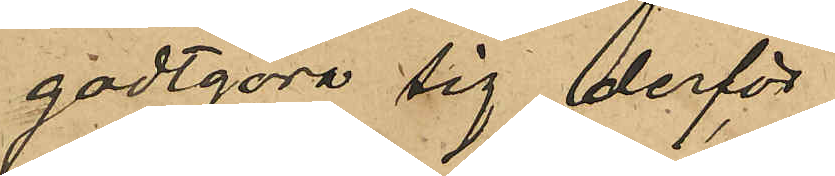godtgöra sig derför.
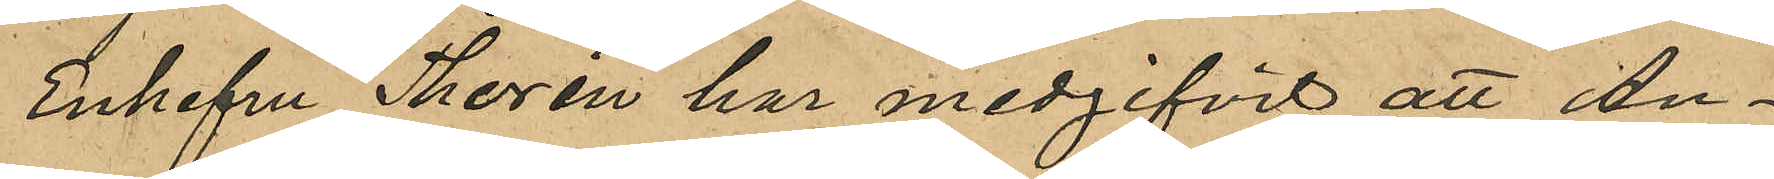Enkefru Thorén har medgifvit att An¬
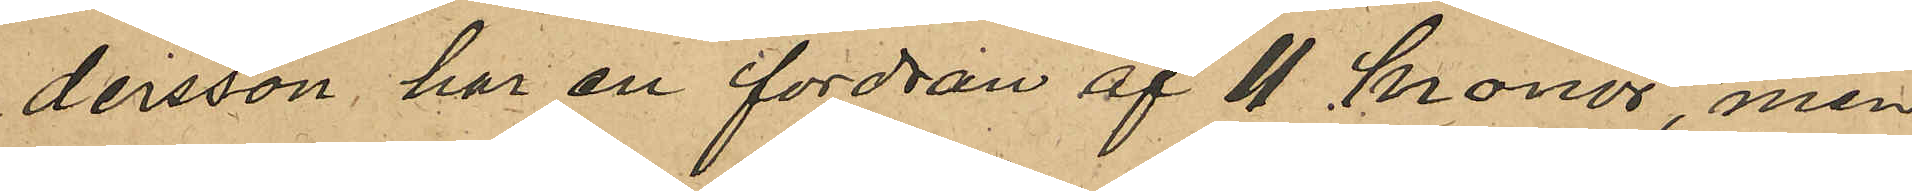dersson har en fordran af 11 kronor, men
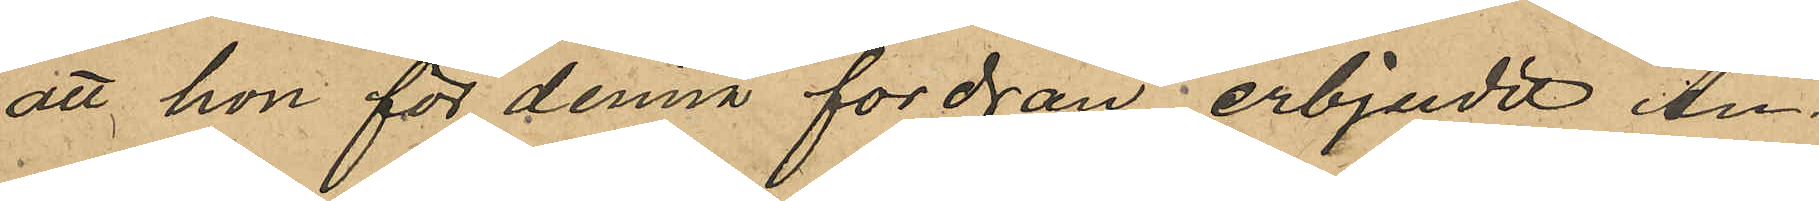att hon för denna fordran erbjudit An¬
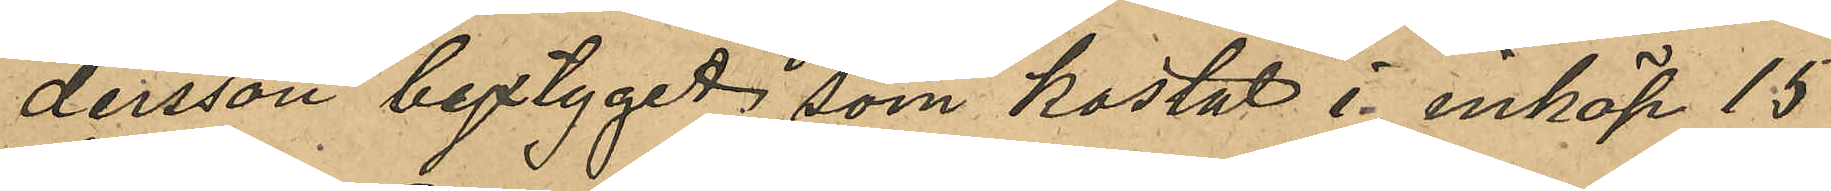dersson byxtyget, som kostat i inköp 15
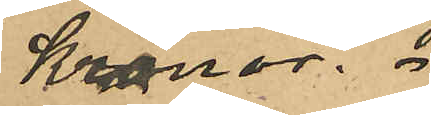Kronor.
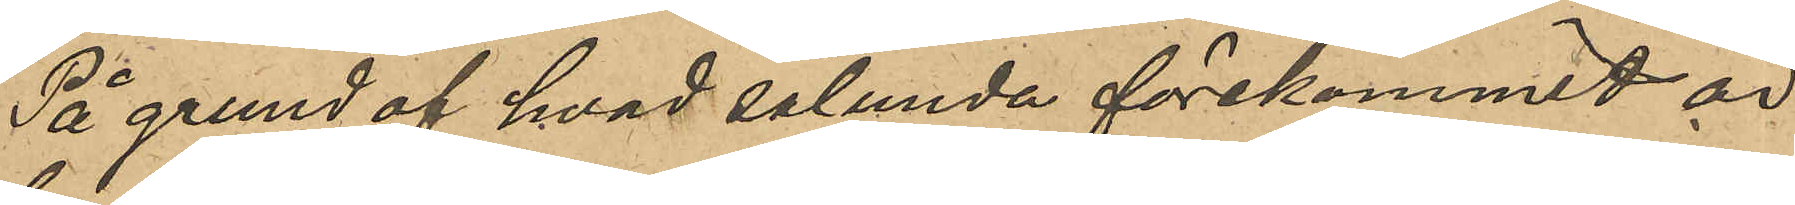På grund af hvad sålunda förekommit är
